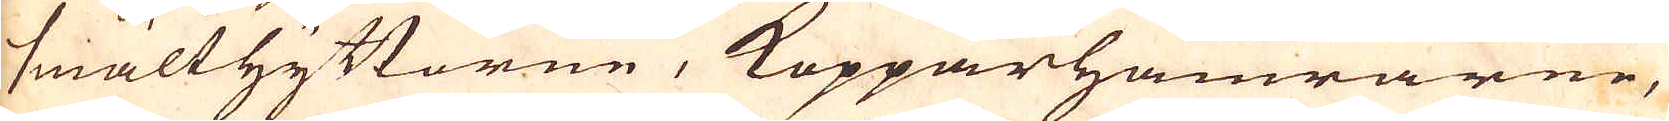smälthyttorne, Kopparhamrarne,
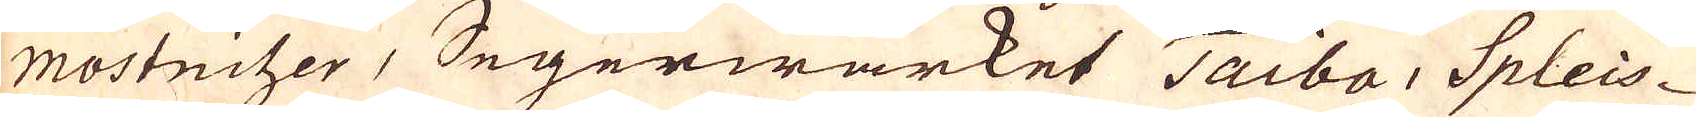mostnitzer, Segerwärket Taiba, Spleis-
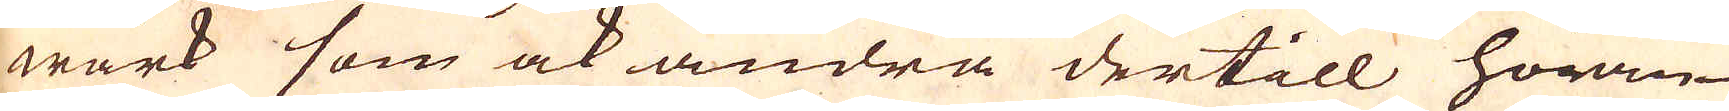wärk som ock andra dertill höran-
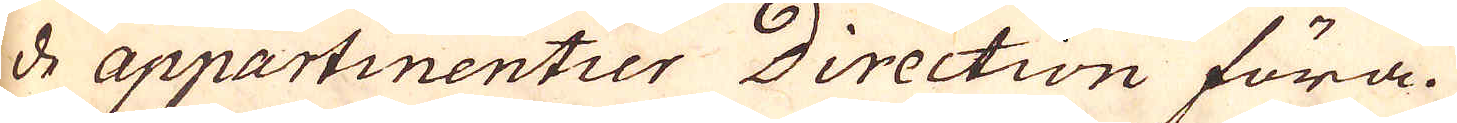de appartinentier Direction föra.
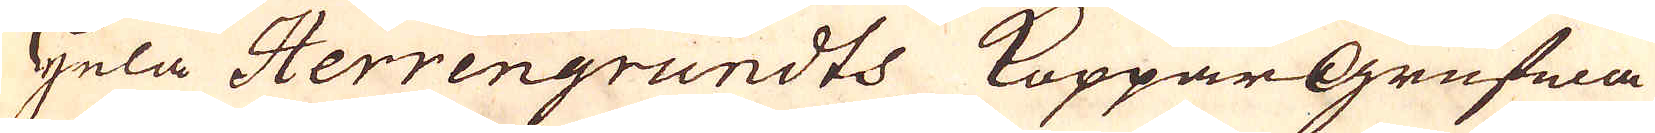Hela Herrengrundts KopparGrufwa
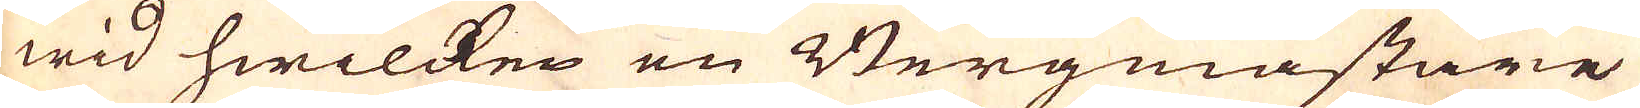wid hwilcken en Bergmästare
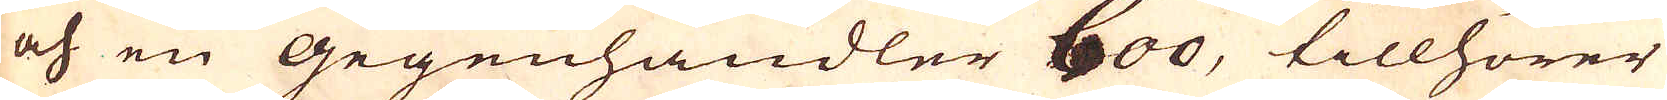och en Gegenhandler boo, tillhörer
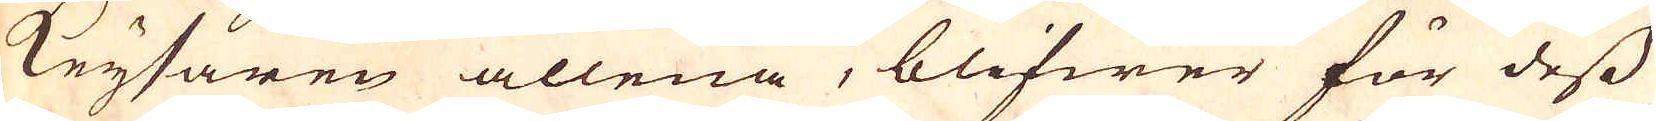Keysaren allena, blifwer för dess
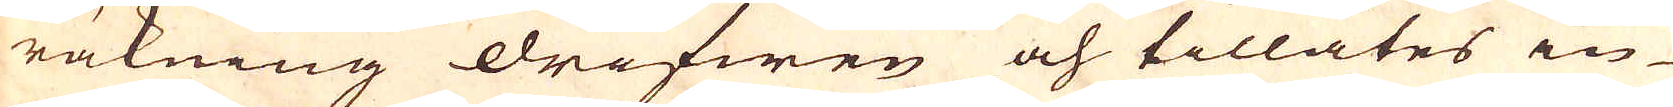räkning drifwen och tillåtes in-
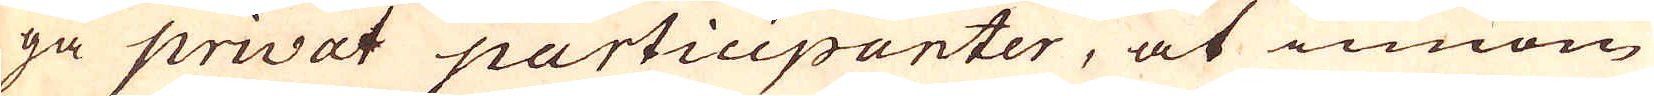ga privat participanter, at innom
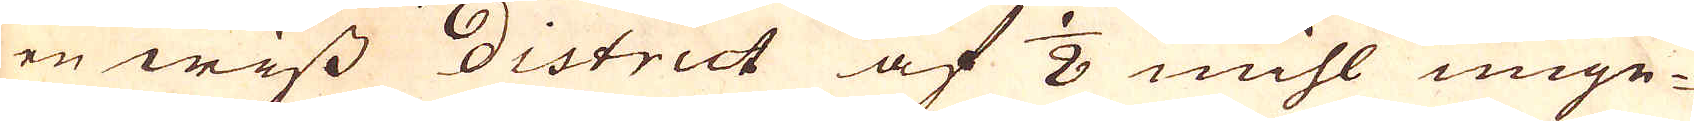en wiss District af 1/8 mihl unge-
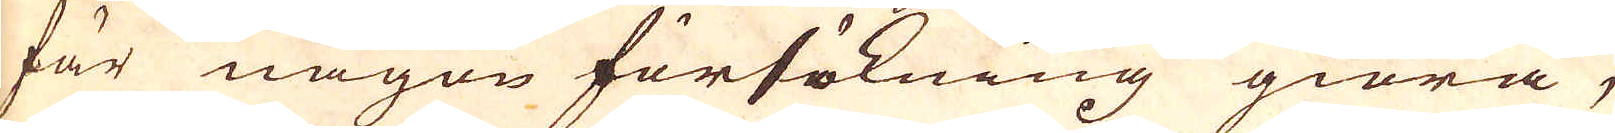fär någon försökning giöra,
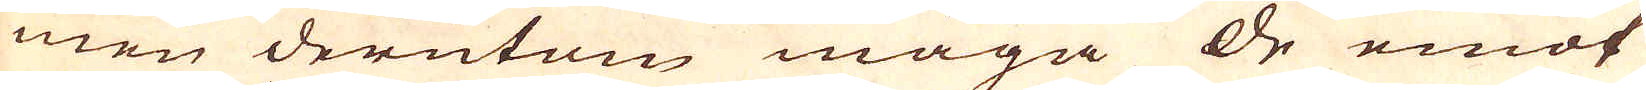men derutom måga de emot
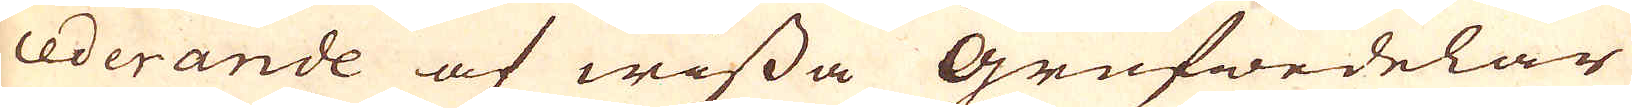cederande af wissa Grufwedelar
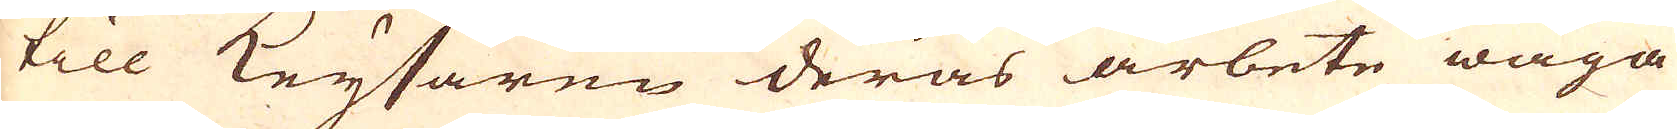till Keysaren deras arbete wåga
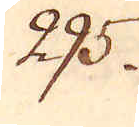295.
